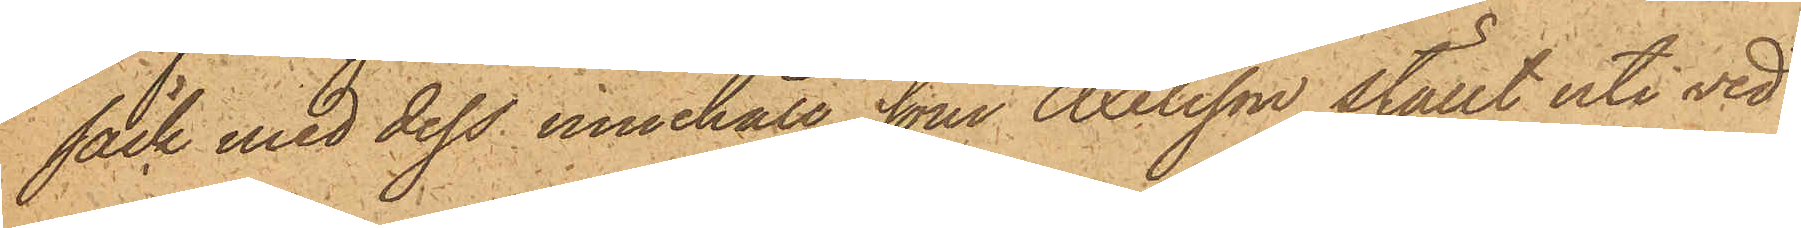säck med dess innehåll, som Axelsson ställt uti ved¬
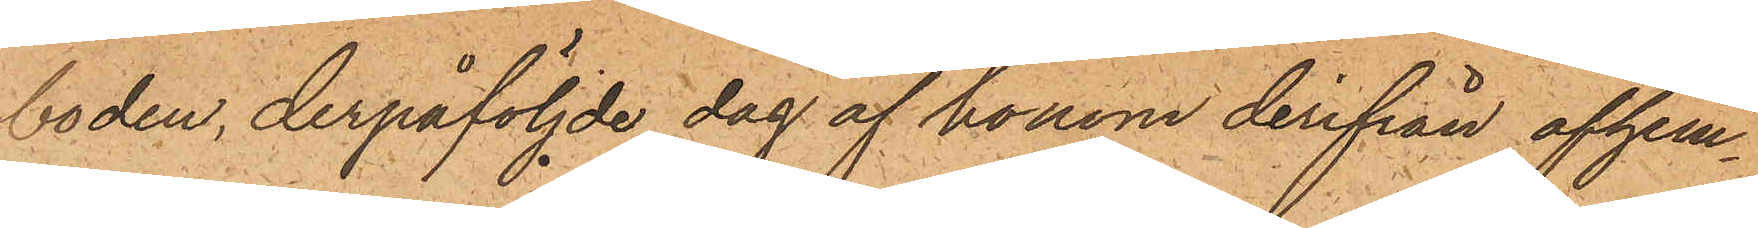boden, derpåföljde dag af honom derifrån afhem¬
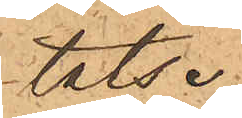tats.
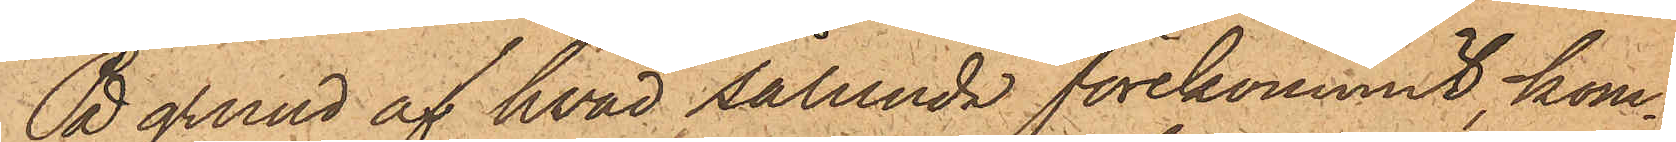På grund af hvad sålunda förekommit, kom¬
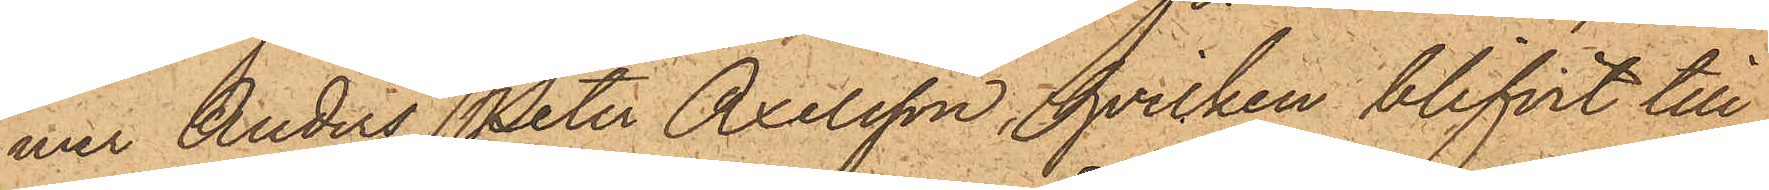mer Anders Peter Axelsson, hvilken blifvit till
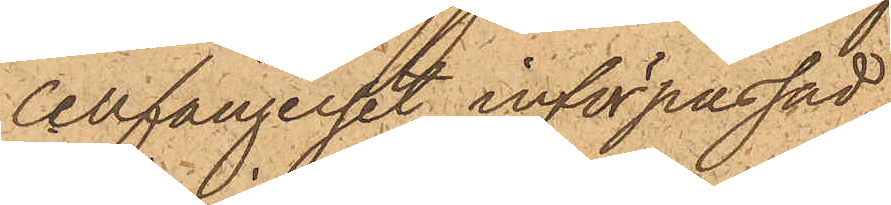Cellfängelset införpassad,
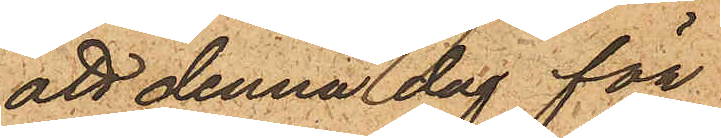att denna dag för
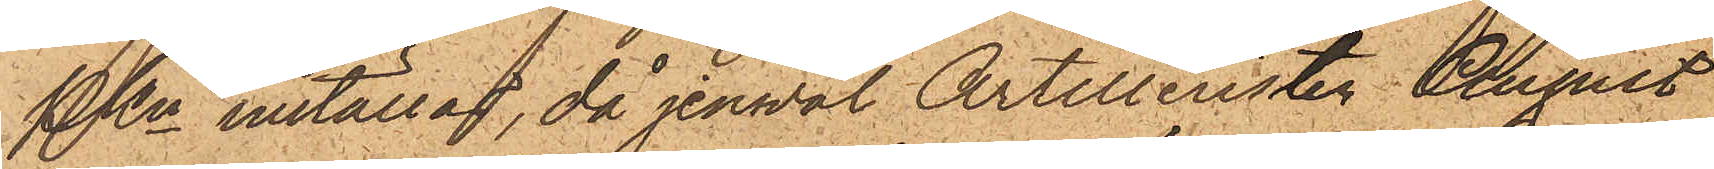PKn inställas, då jemväl Artilleristen August
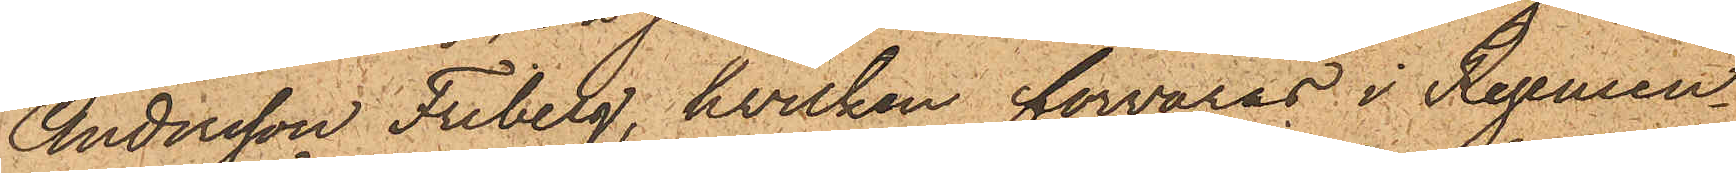Andersson Friberg, hvilken förvaras i Regemen¬
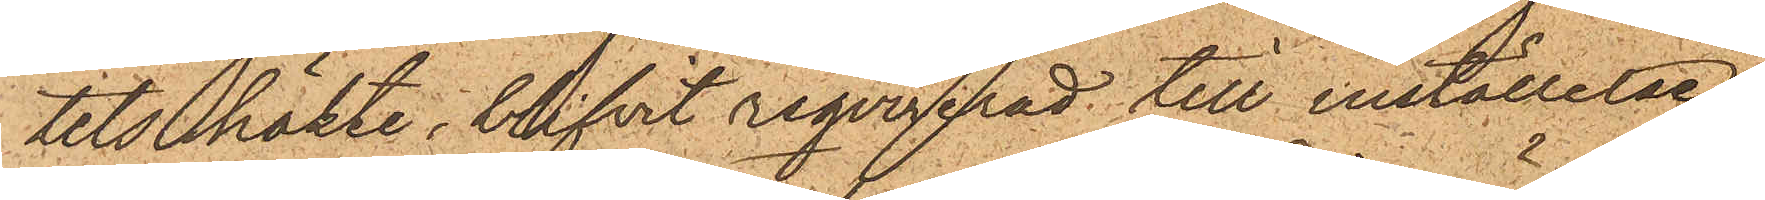tets häkte, blifvit reqvirerad till inställelse,
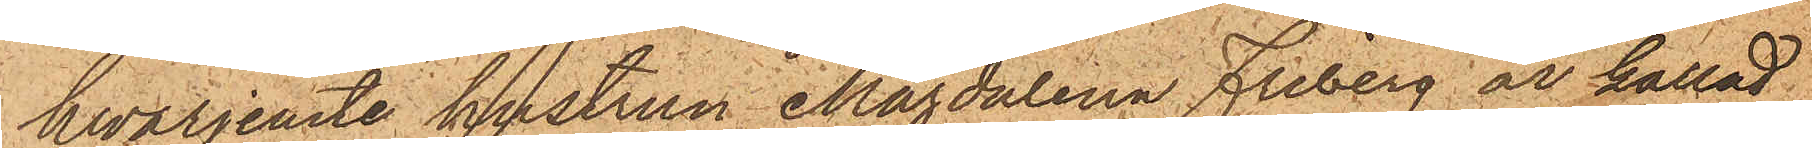hvarjemte hustrun Magdalena Friberg är kallad
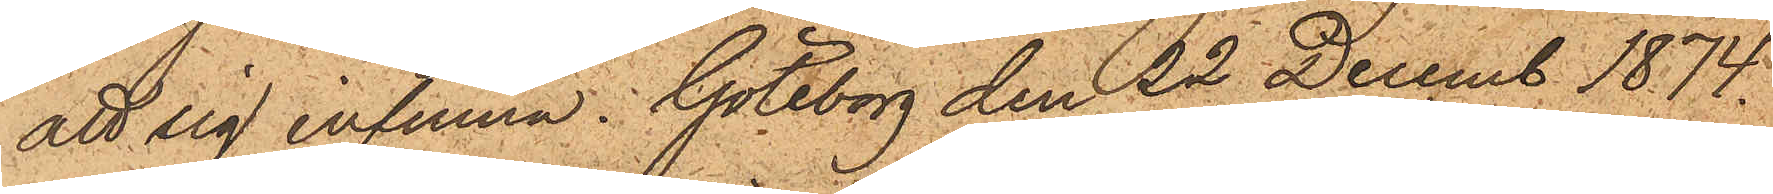att sig infinna. Göteborg den 22 Decemb. 1874.
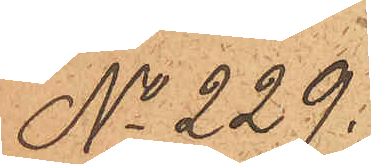No 229.
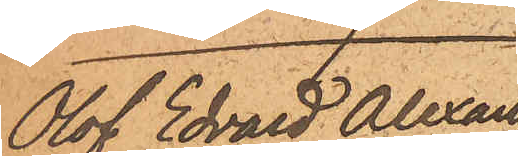Olof Edvard Alexan¬
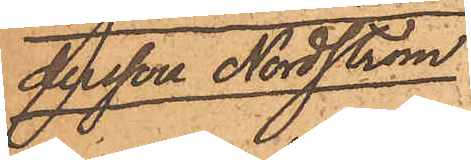dersson Nordström
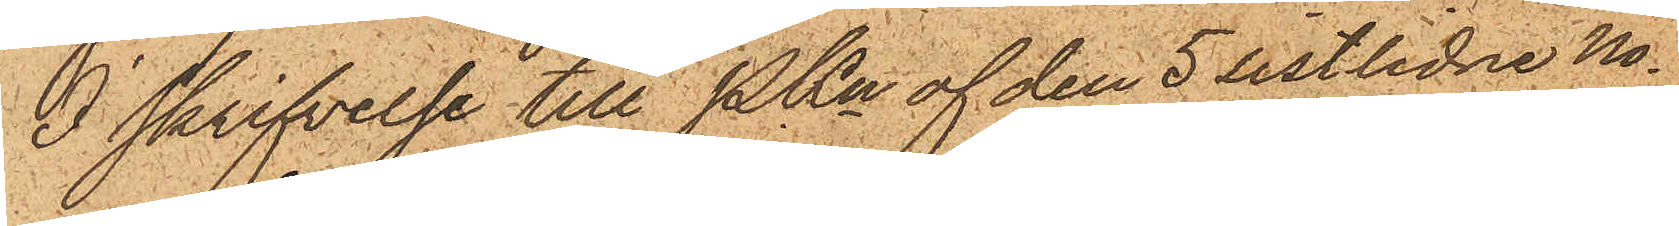I skrifvelse till PKn af den 5 sistlidne No¬
